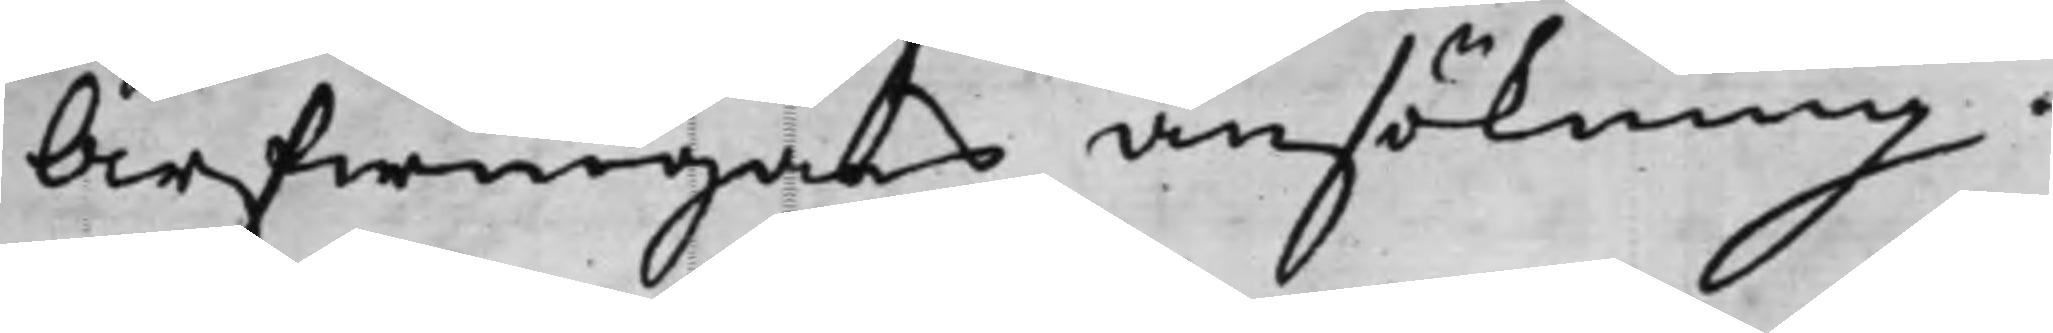Arfwingars ansökning.
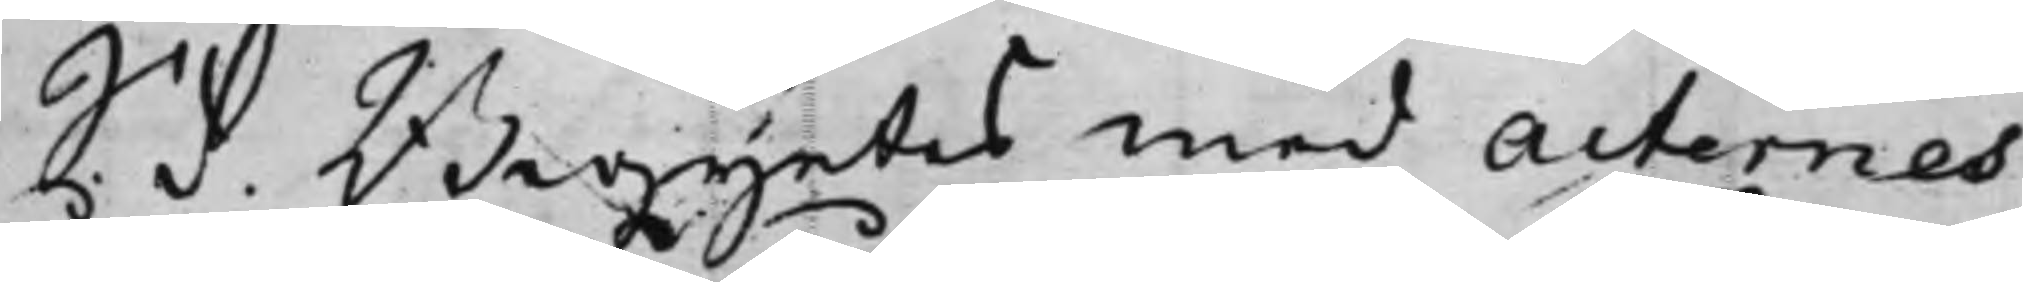S. d. Begyntes med Acternes
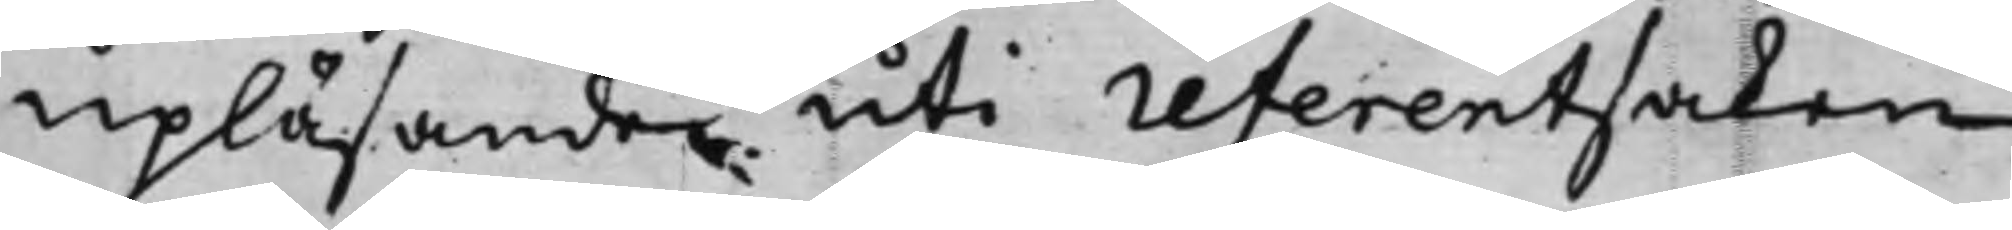upläsande uti referentsaken
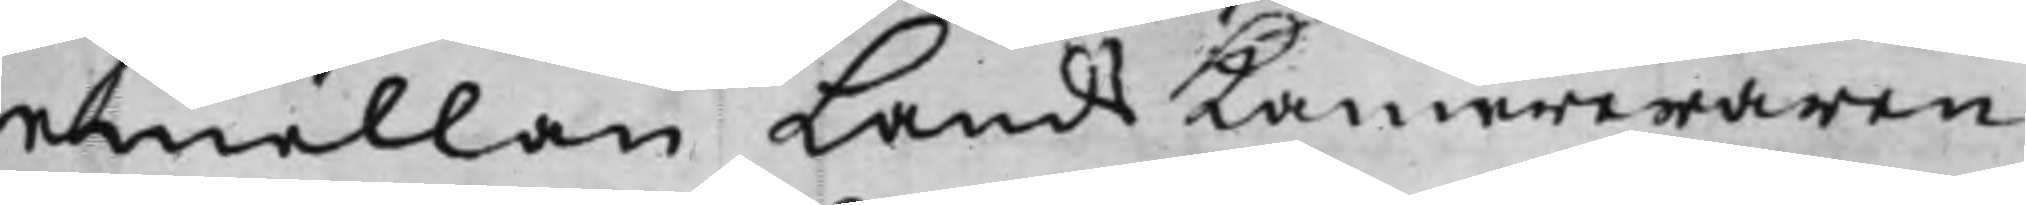emellan LandsKamereraren
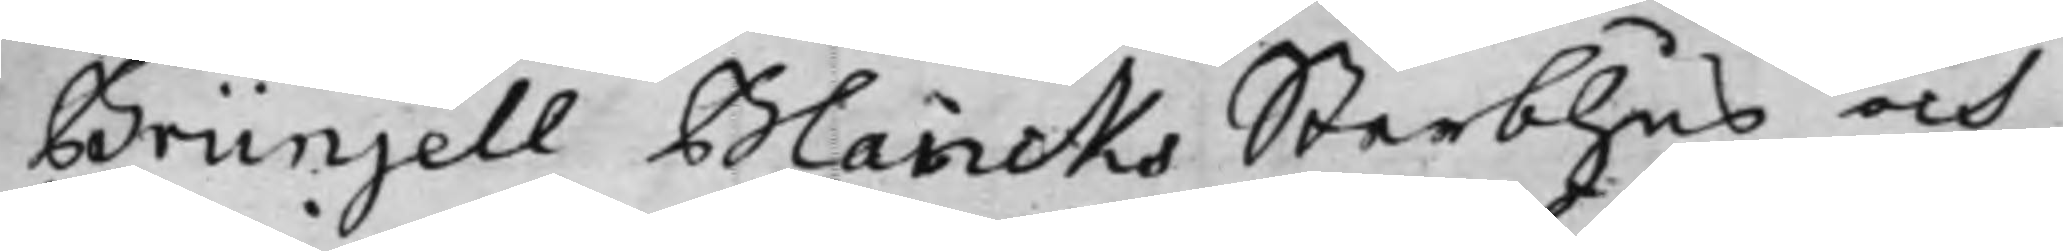Brünjell Blancks Sterbhus och
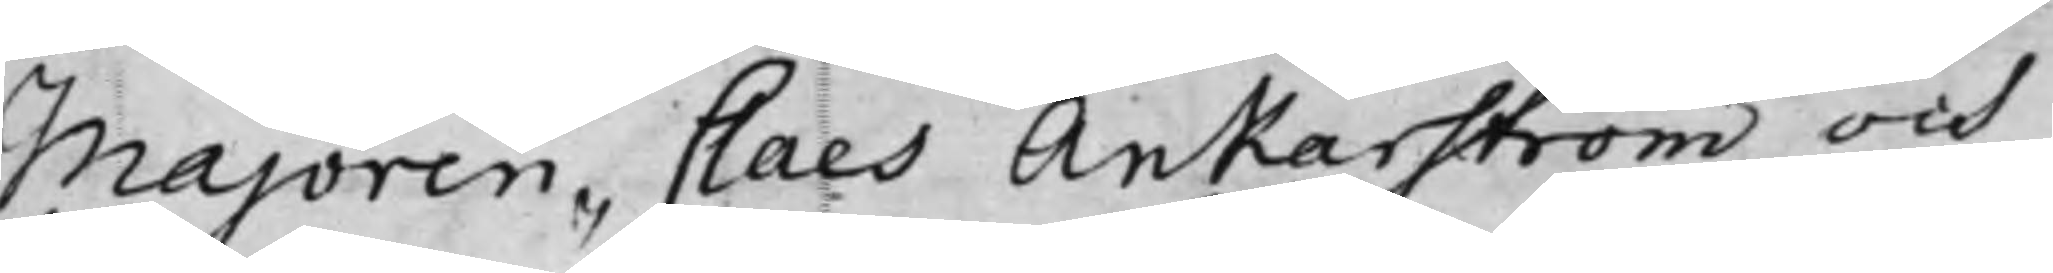Majoren Claes Ankarström och
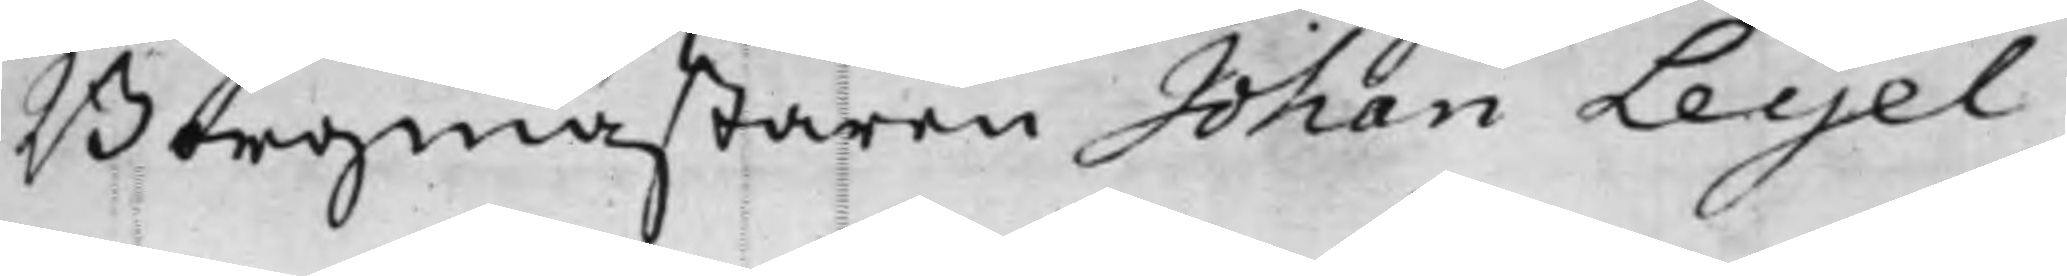Borgmästaren Johan Leijel
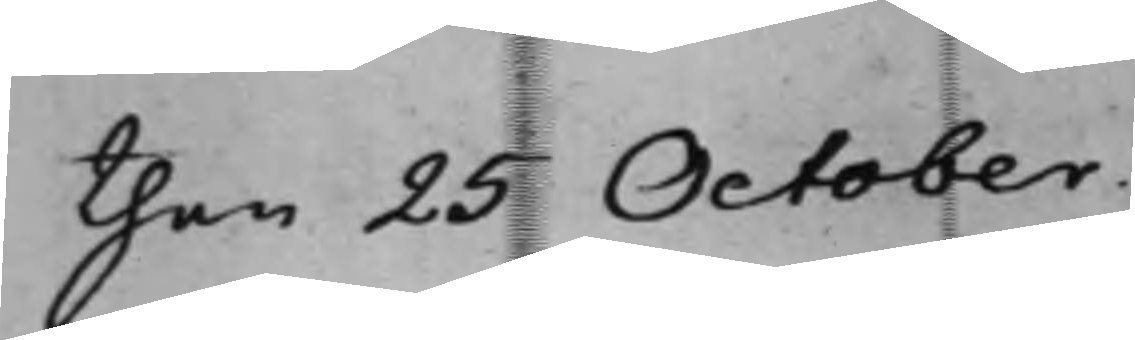then 25 October
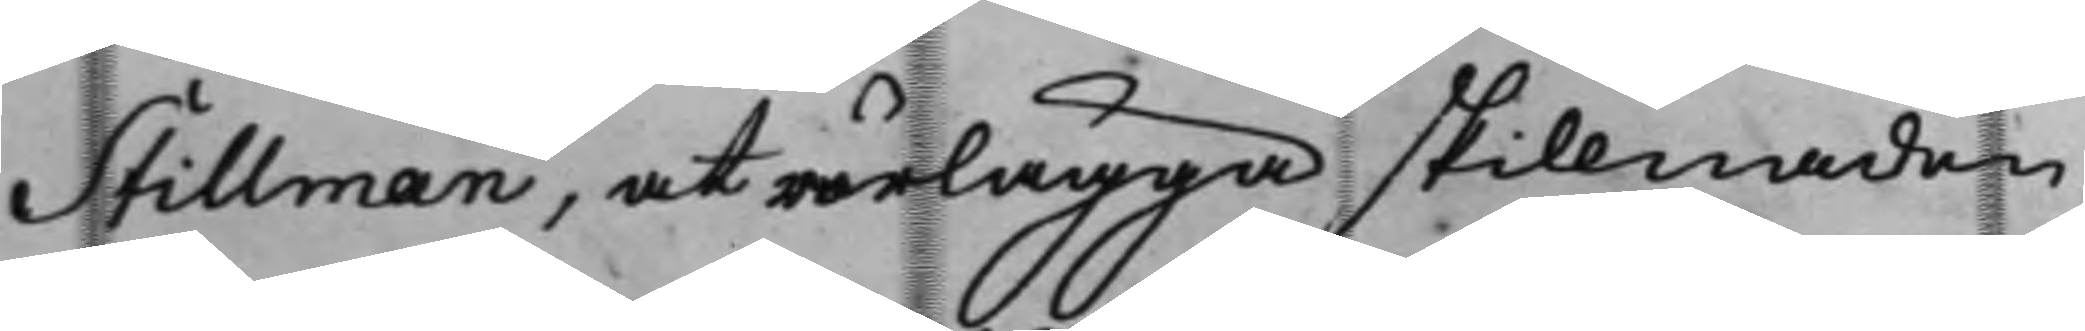Stillman, at rärlägga skillnaden
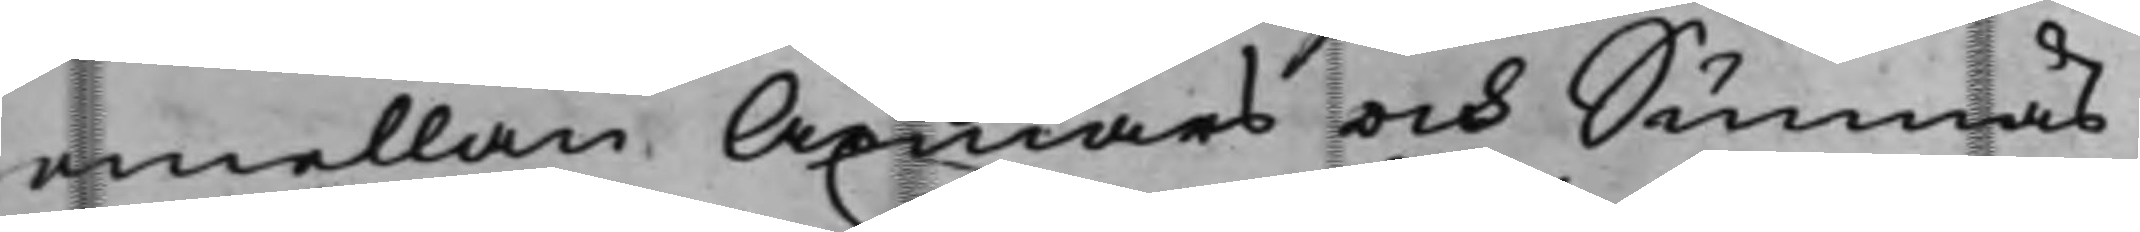emellan Axmars och Sunnäs
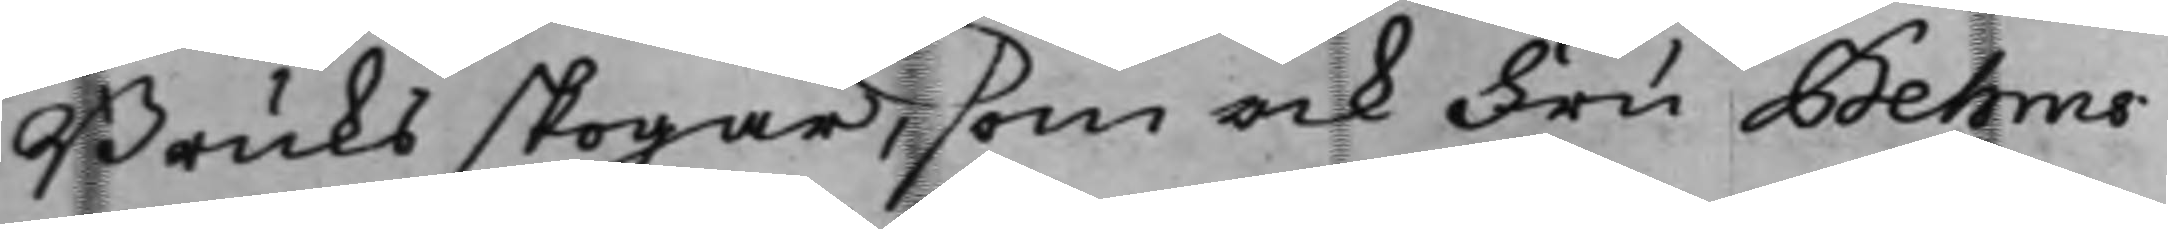Bruks skogar, som ock Fru Behms
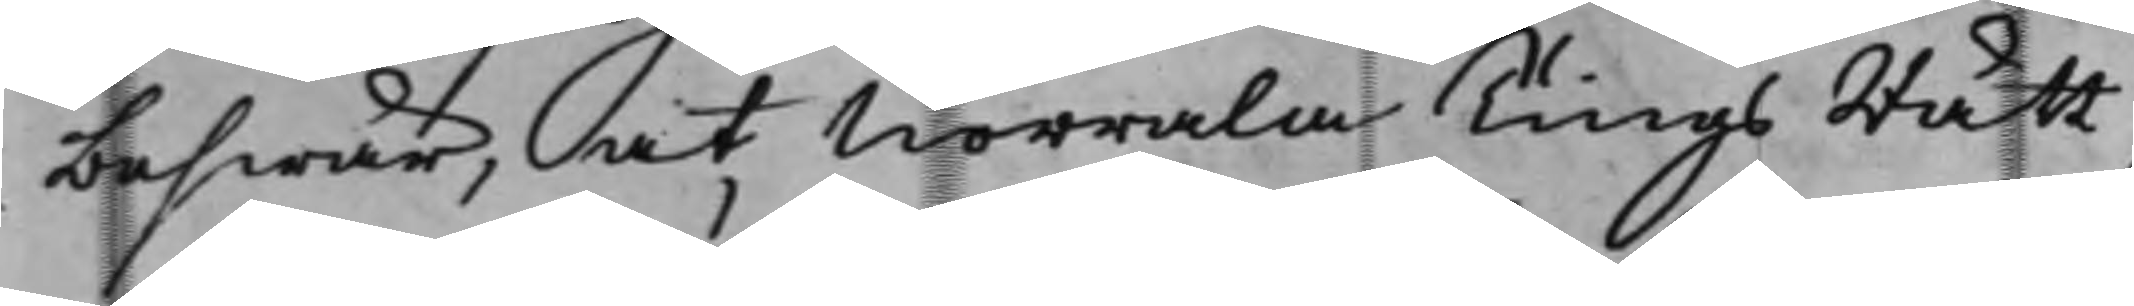beswär, at Norrala TingsRätt
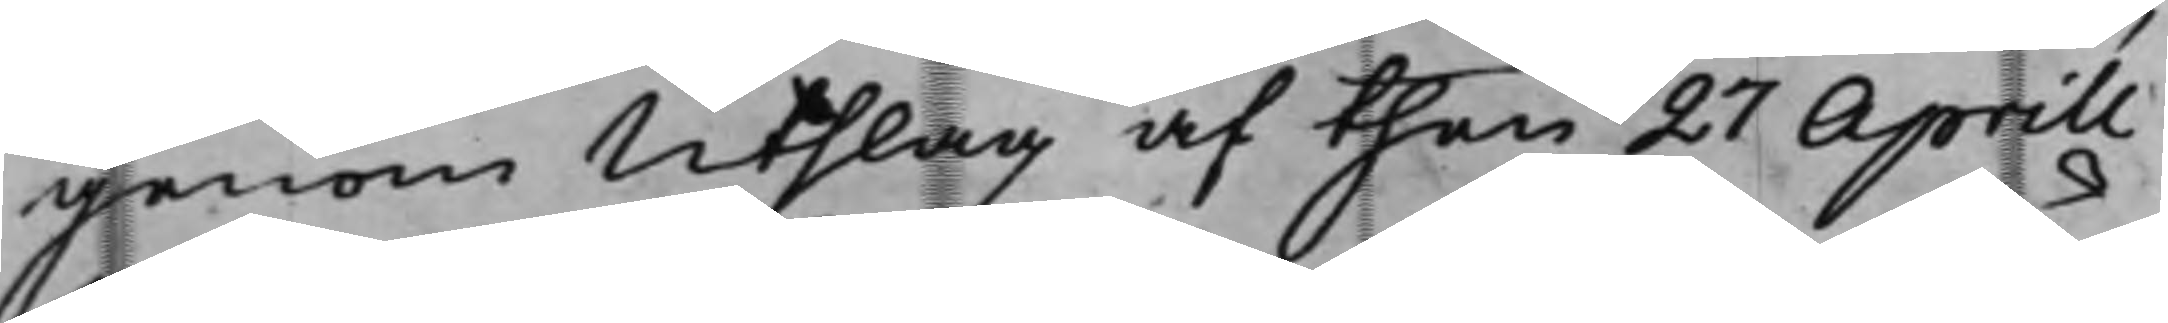genom Utslag af then 27 Aprill
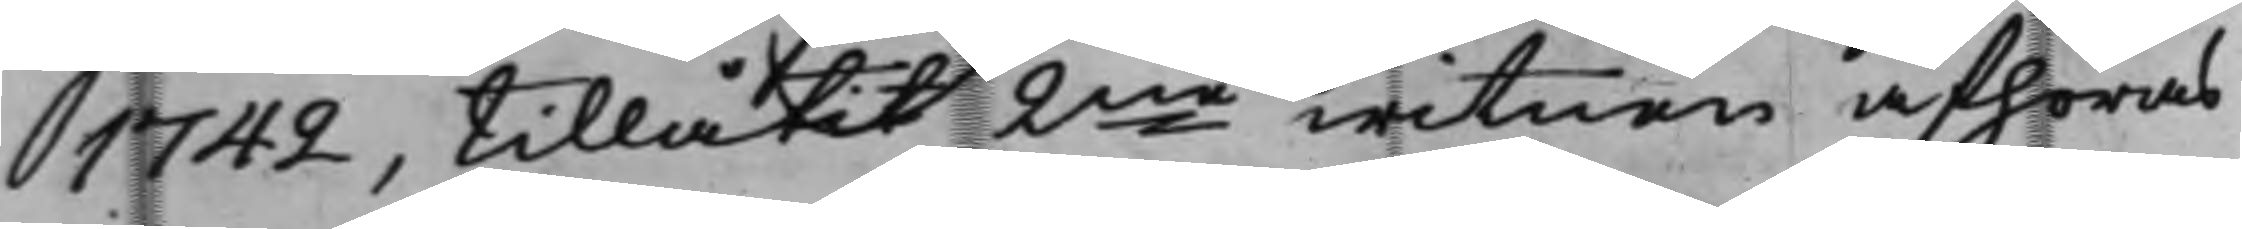1742, tillåtit 2ne witnen afhöras
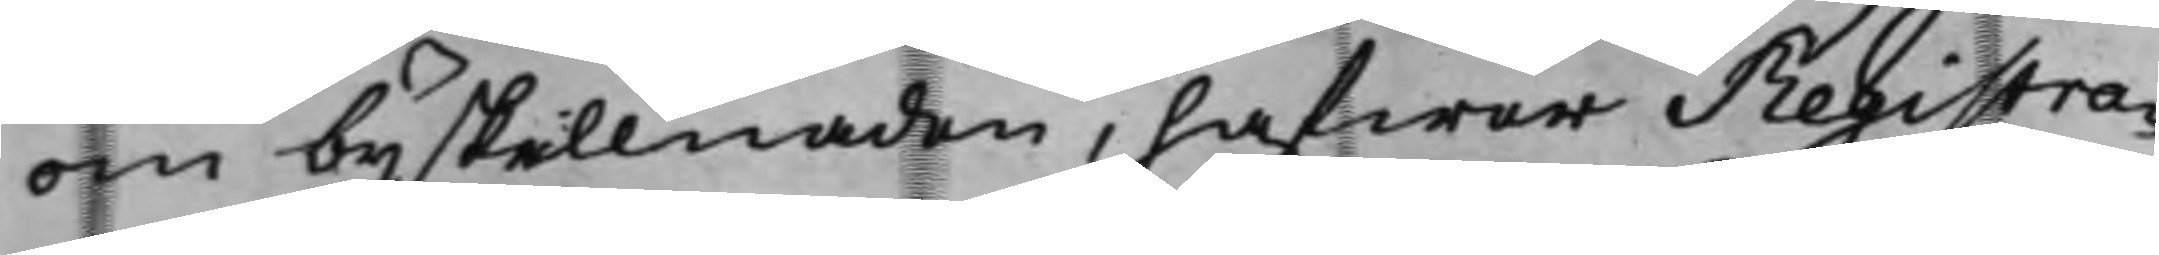om byskillnaden, hafwer Registra¬
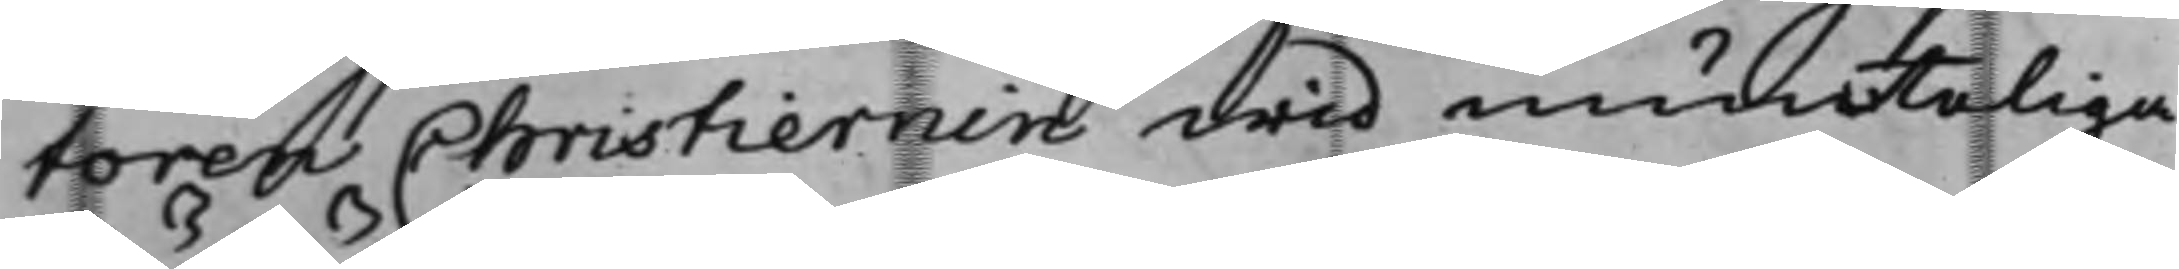toren Christiernin wid munteliga
